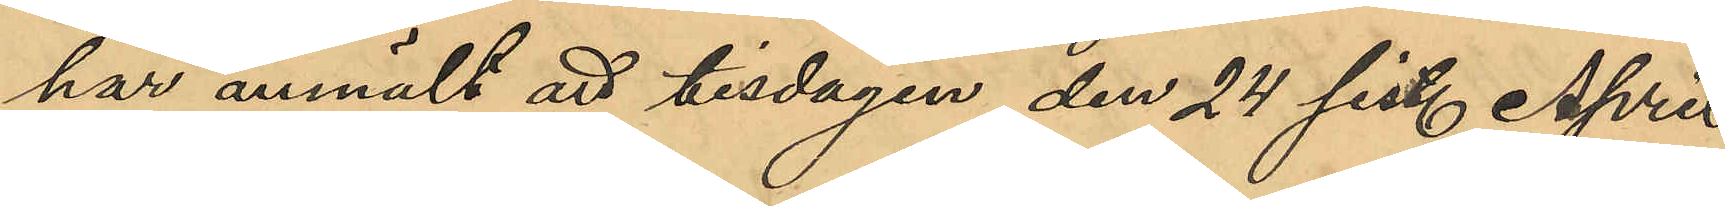har anmält att tisdagen den 24 sist. April
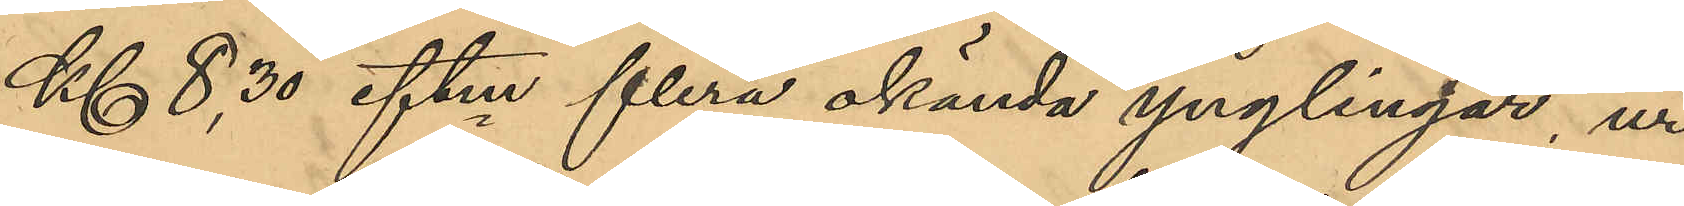Kl 8,30 eftm flera okända ynglingar ur
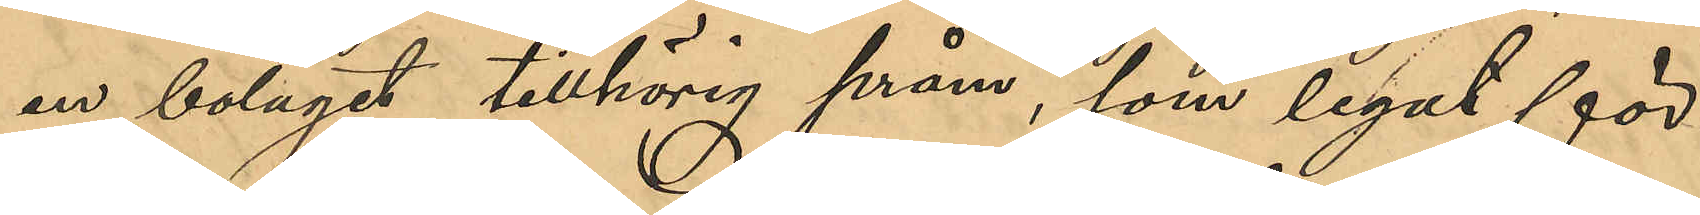en bolaget tillhörig pråm, som legat för¬
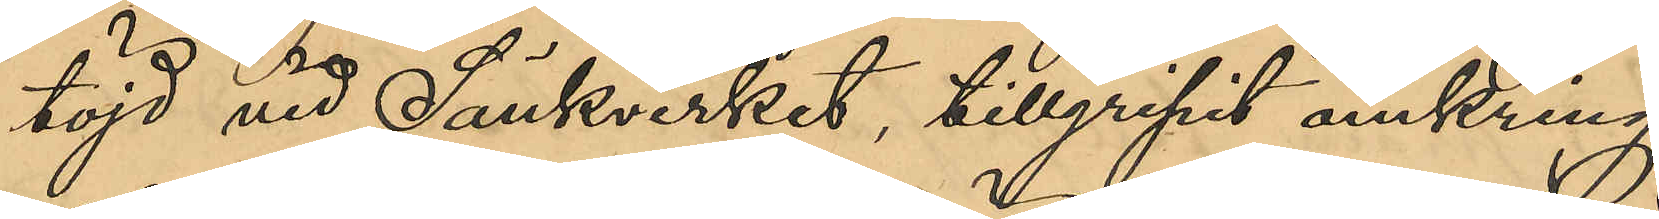töjd vid Sänkverket, tillgripit omkring 
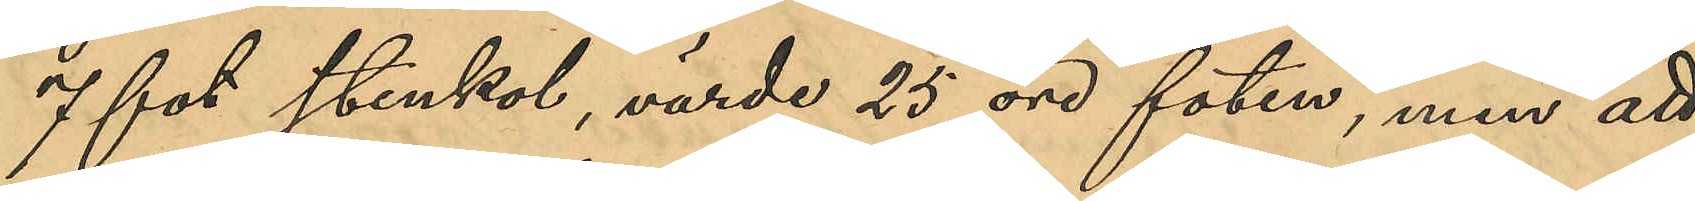7 fot stenkol, värde 25 öre foten, men att
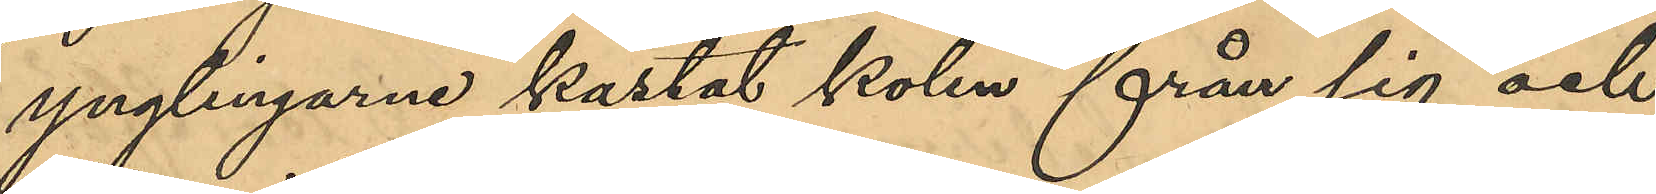ynlingarne kastat kolen från sig och
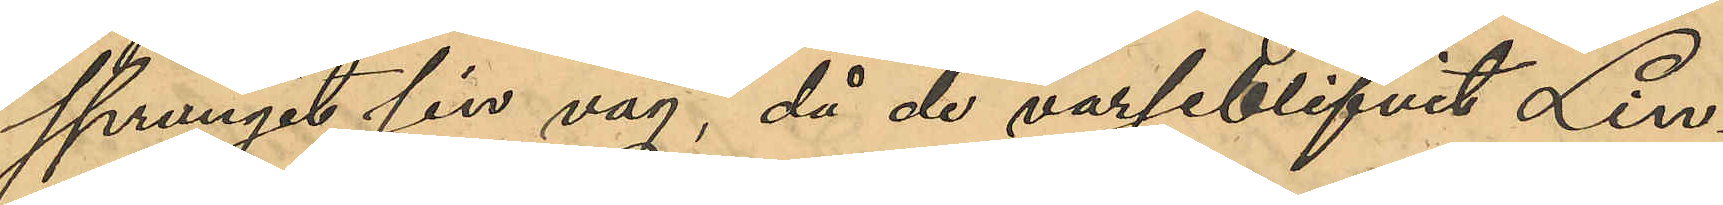sprungit sin väg, då de varseblifvit Lin¬
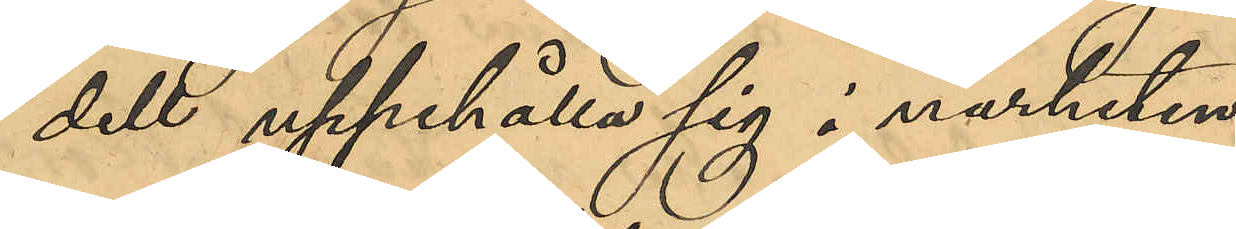dell uppehålla sig i närheten.
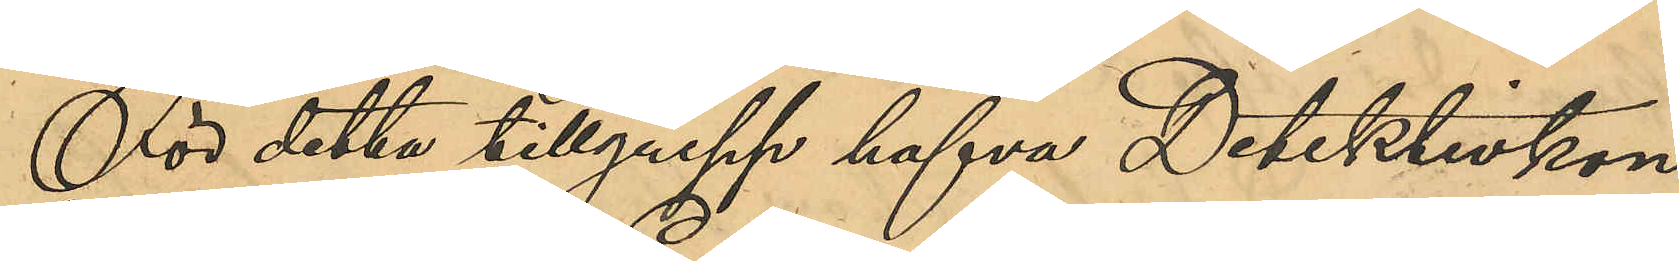För detta tillgrepp hafva Detektivkon¬
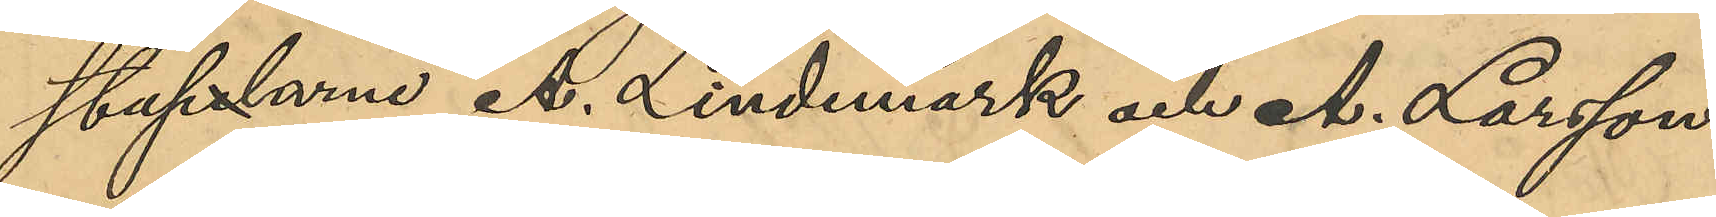staplarne A. Lindmark och A. Larsson
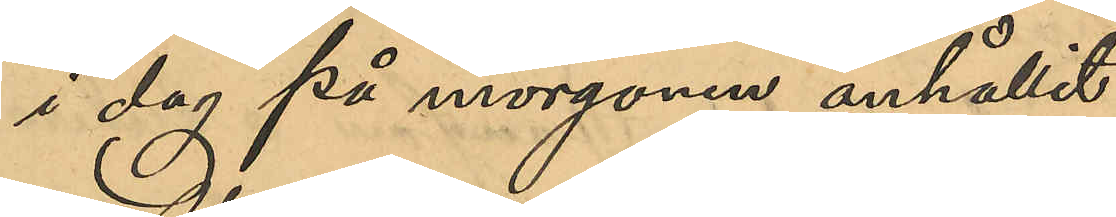i dag på morgonen anhållit:
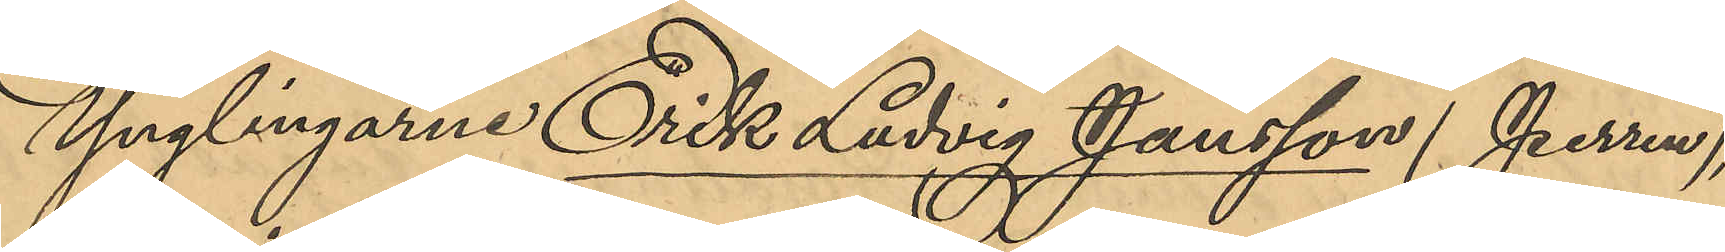Ynglingarne Erik Ludvig Jansson (Perren),
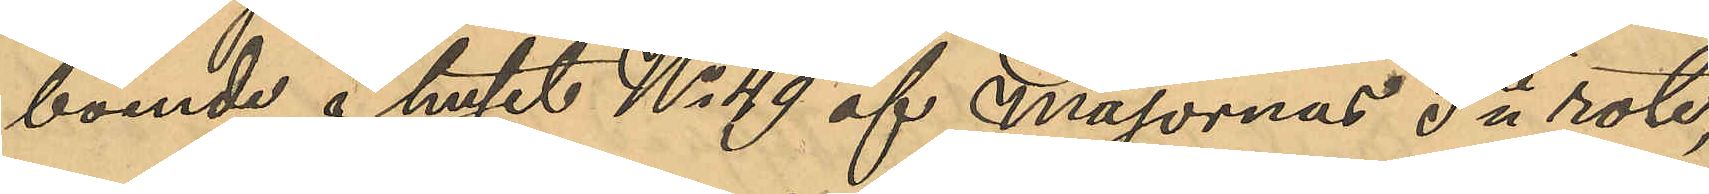boende i huset No 49 af Majornas 5te rote,
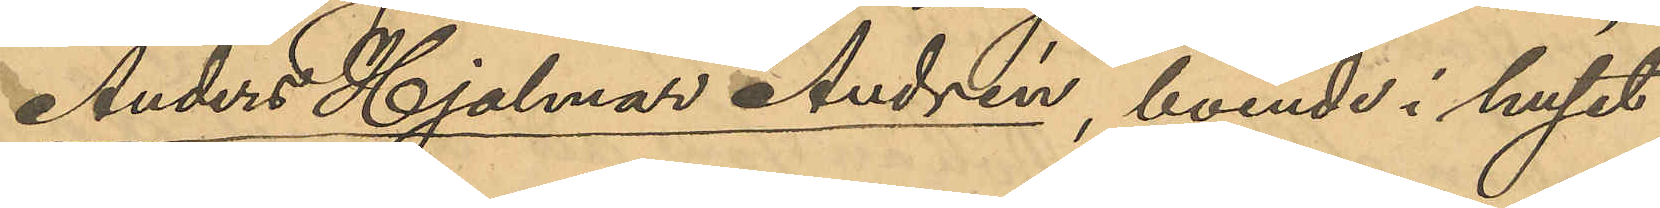Anders Hjalmar Andrén, boende i huset
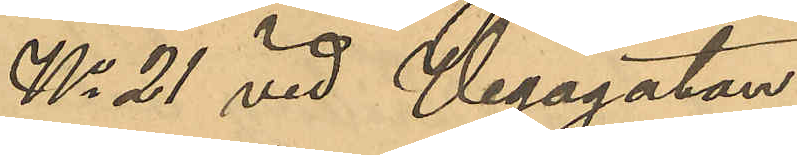No 21 vid Vegagatan;
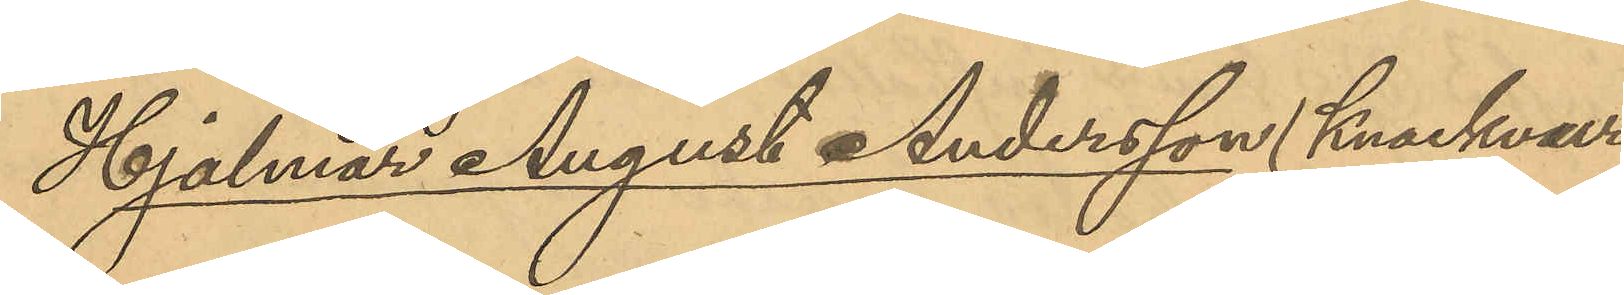Hjalmar August Andersson (Knackvur¬
